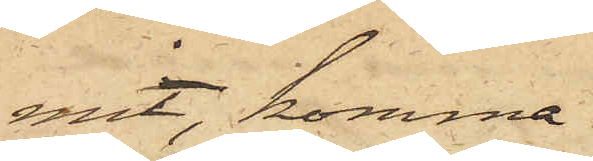mit, komma
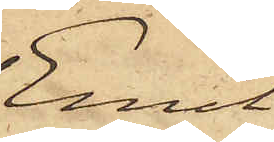Emil
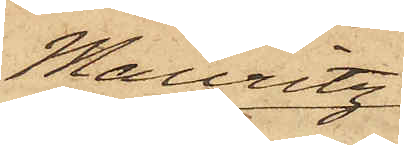Mauritz
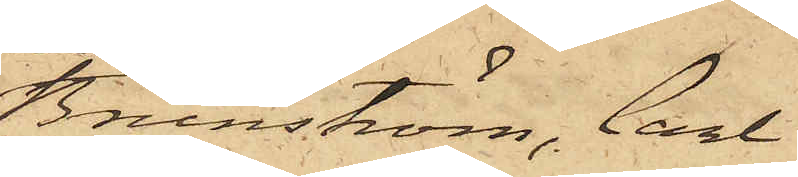Brunström, Carl
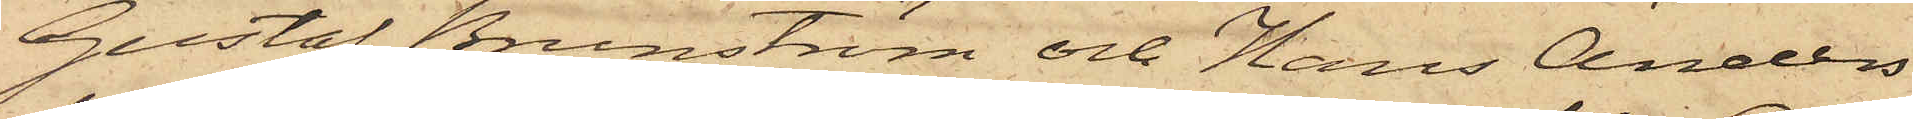Gustaf Brunström och Hans Anders
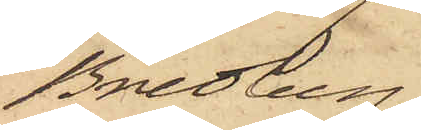Bredberg,
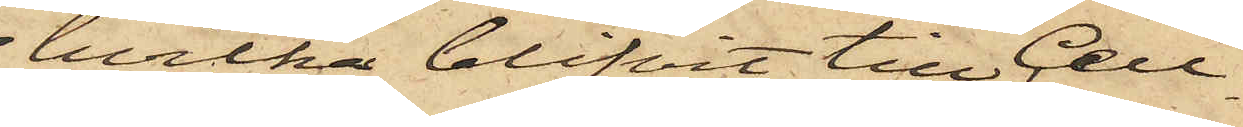hvilka blifvit till Cell¬
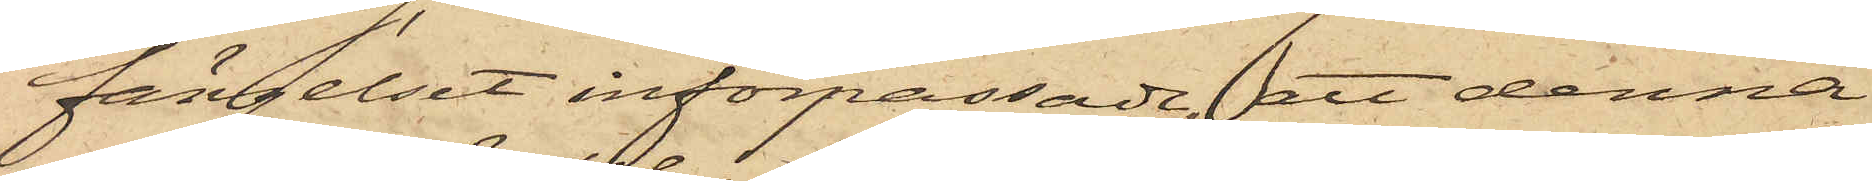fängelset införpassade, att denna
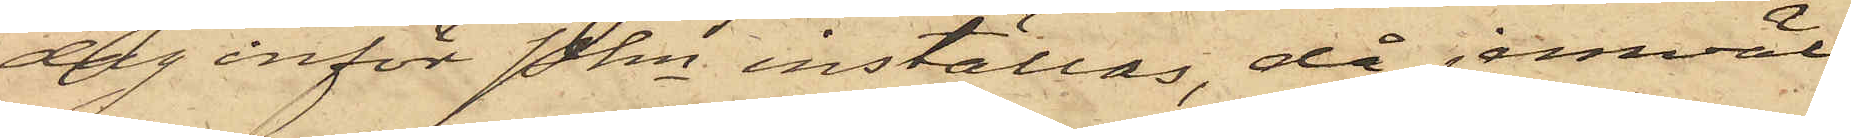dag inför Pkn inställas, då jemväl
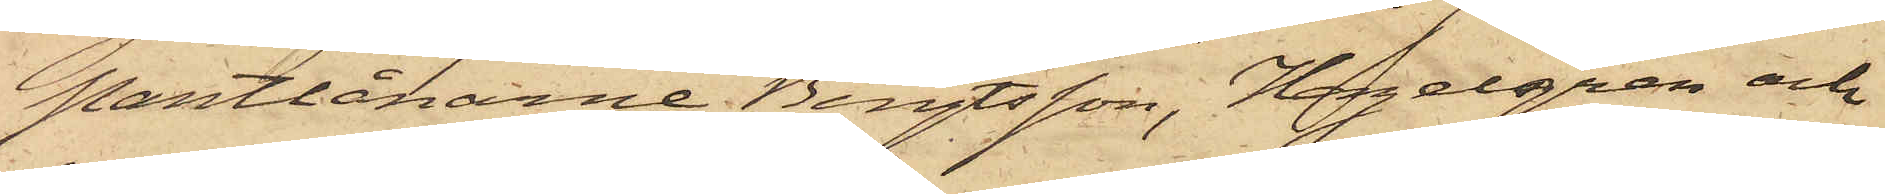Pantlånarne Bengtsson, Hagelgren och
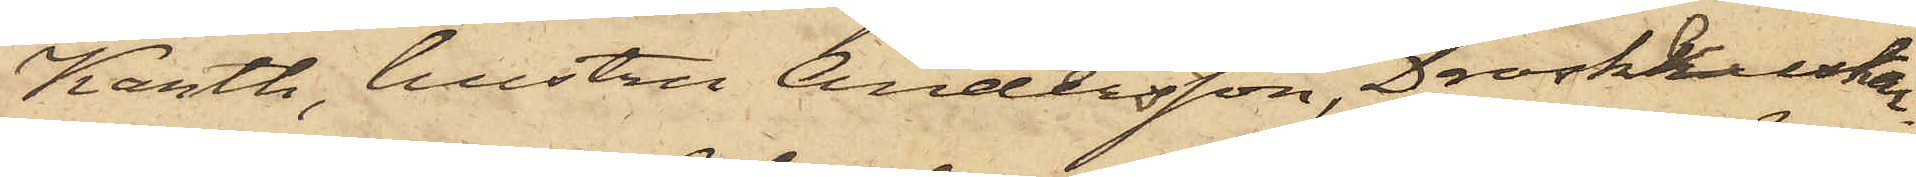Karth, hustru Andersson, Droskkuskar¬
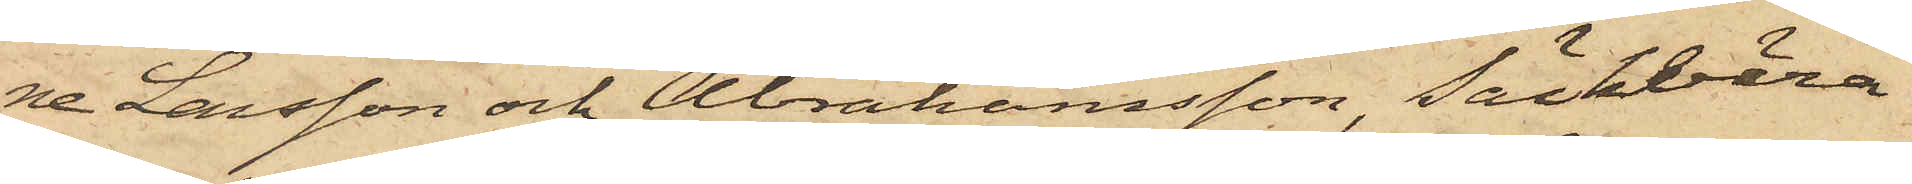ne Larsson och Abrahamsson, Säckbära¬
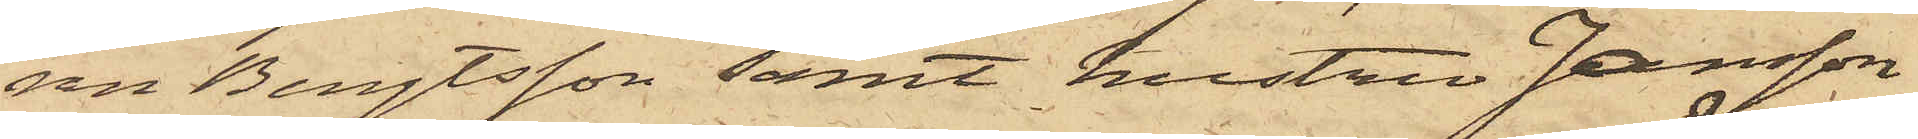ren Bengtsson samt hustru Jansson
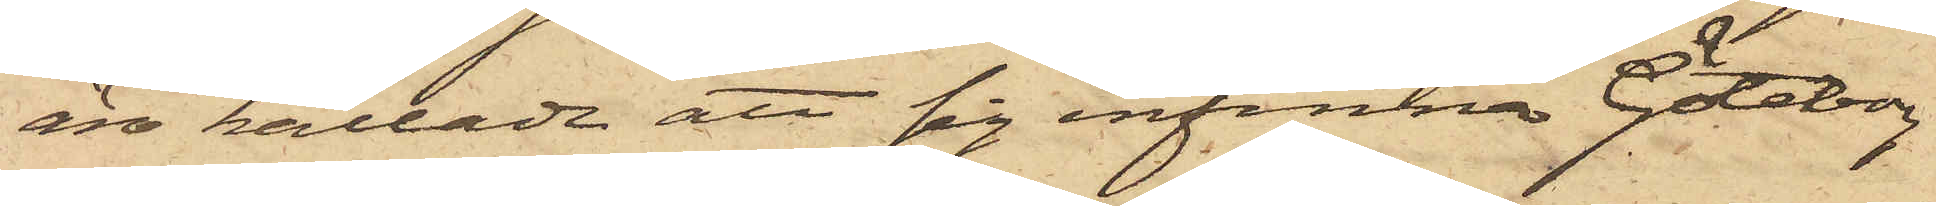äro kallade att sig infinna. Göteborg
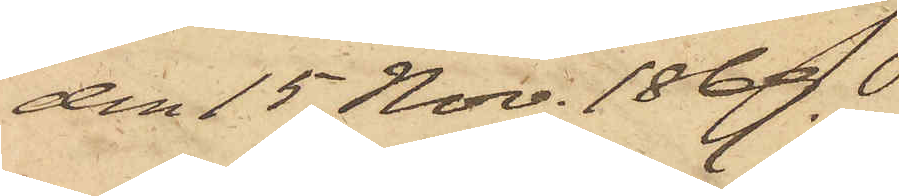den 15 Nov. 1869..
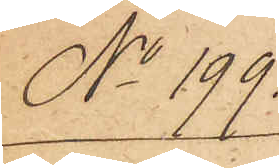No 199.
